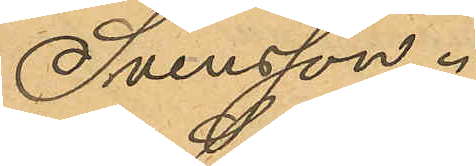Svensson.
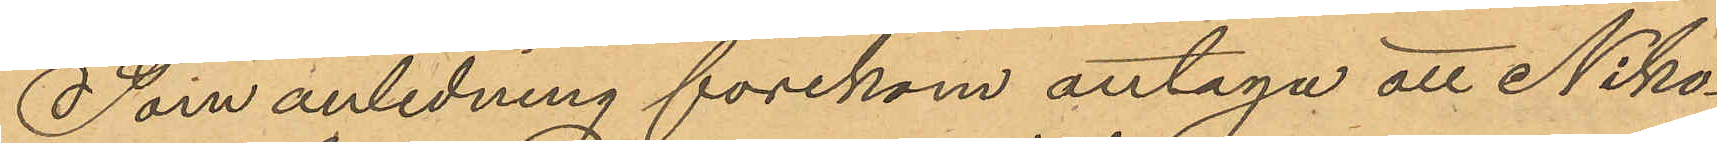Som anledning förekom antaga att Niko¬
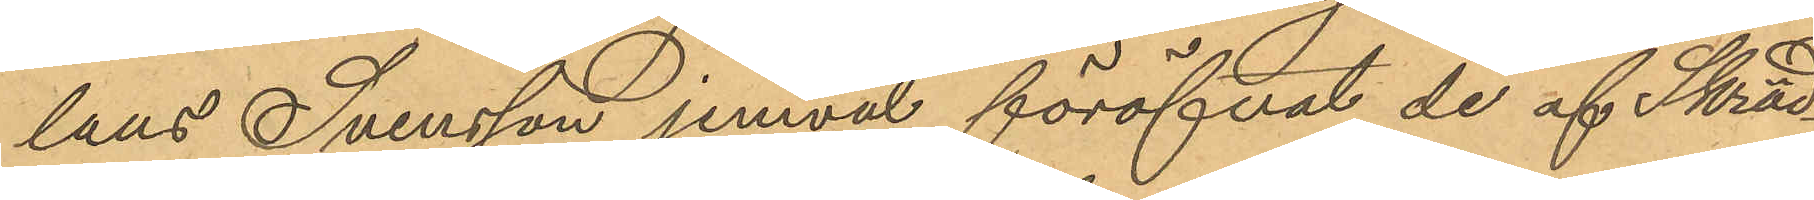laus Svensson jemväl föröfvat de af Skräd¬
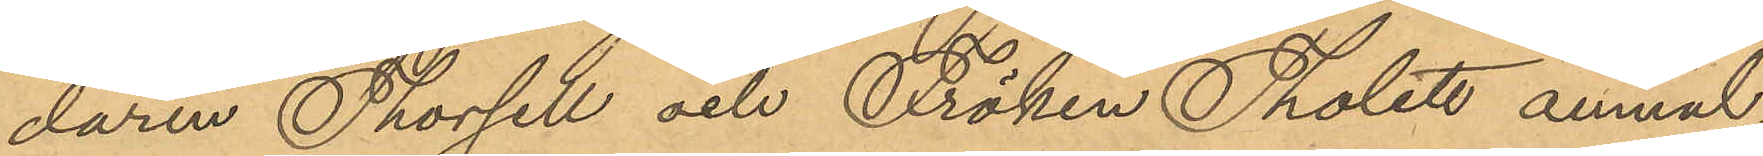daren Thorsell och Fröken Tholett anmäl
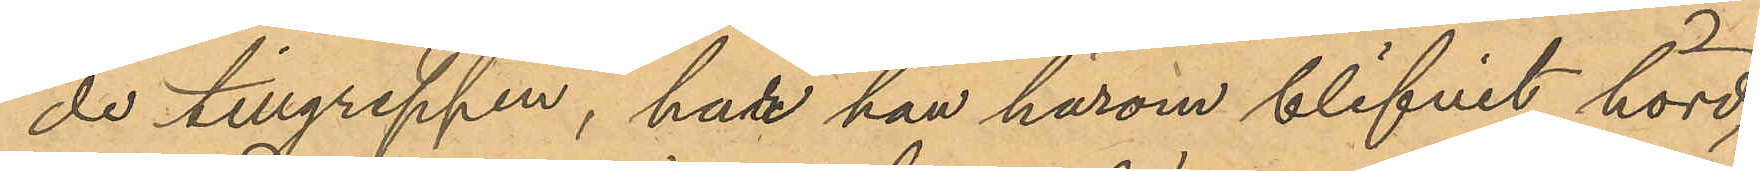de tillgreppen, har han härom blifvit hörd,
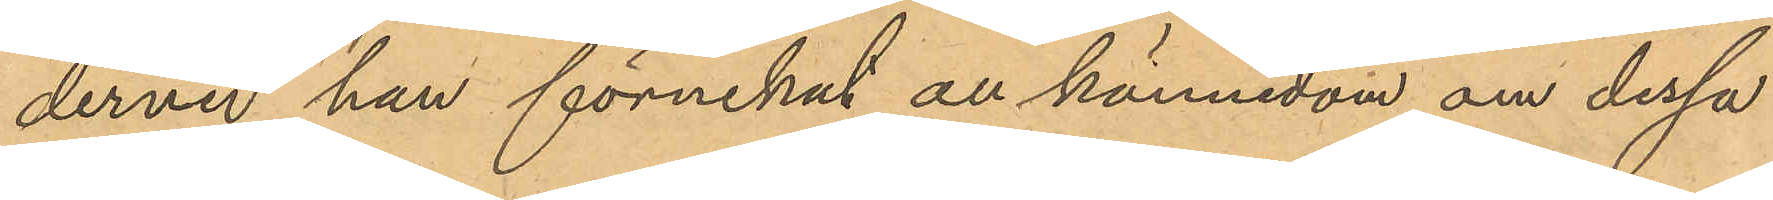dervid han förnekat all kännedom om dessa
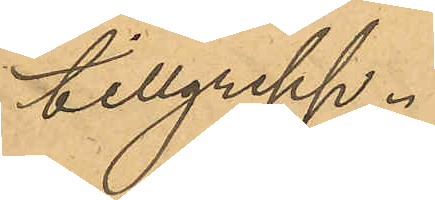tillgrepp.
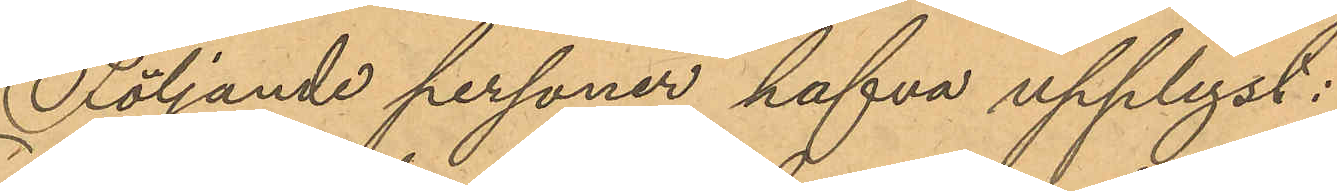Följande personer hafva upplyst:
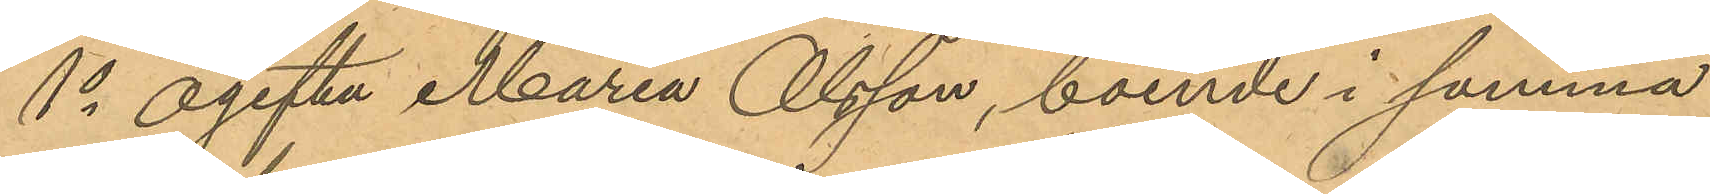1o ogifta Maria Olsson, boende i samma
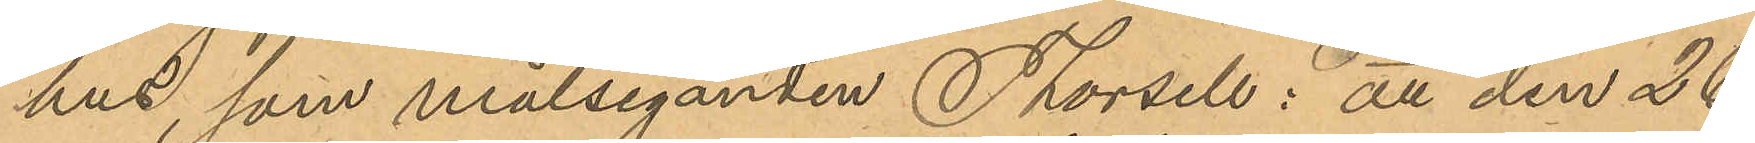hus som målseganden Thorsell: att den 26
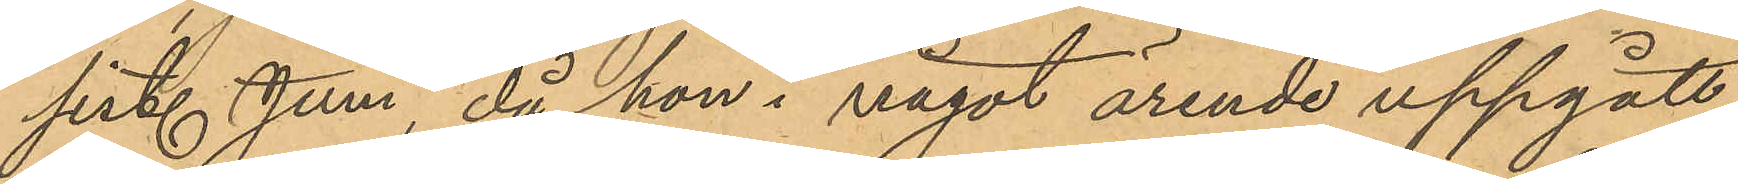sist. Juni, då hon i något ärende uppgått
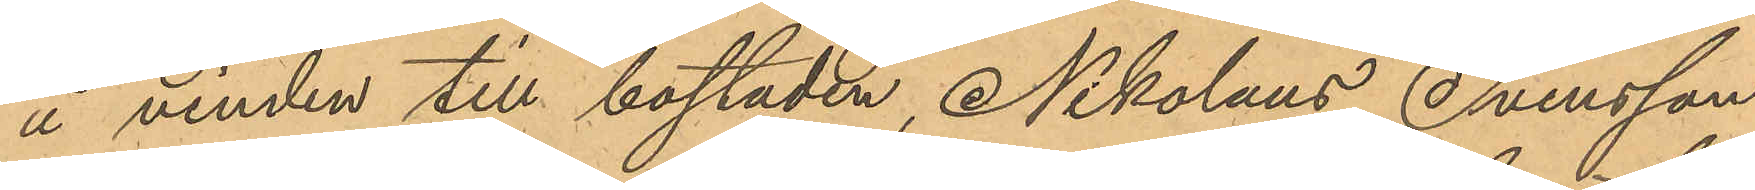å vinden till bostaden, Nikolaus Svensson
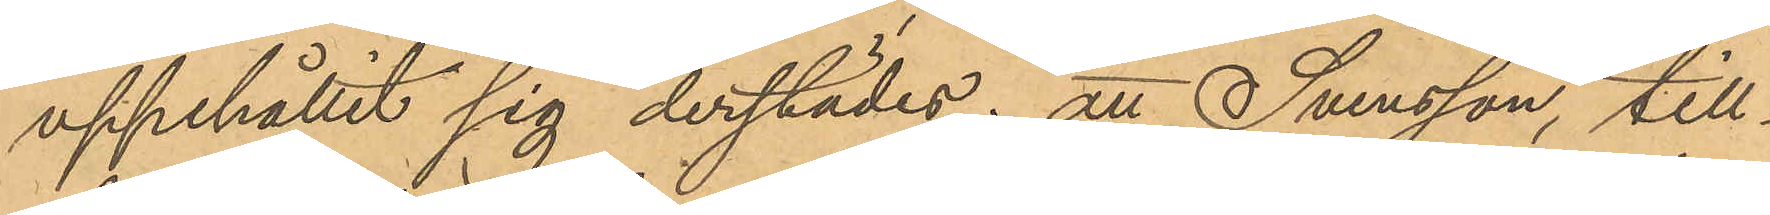uppehållit sig derstädes; att Svensson, till¬
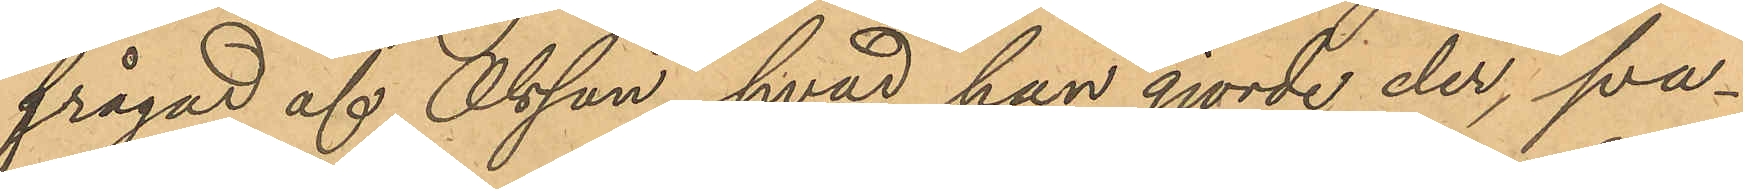frågad af Olsson hvad han gjorde der, sva¬
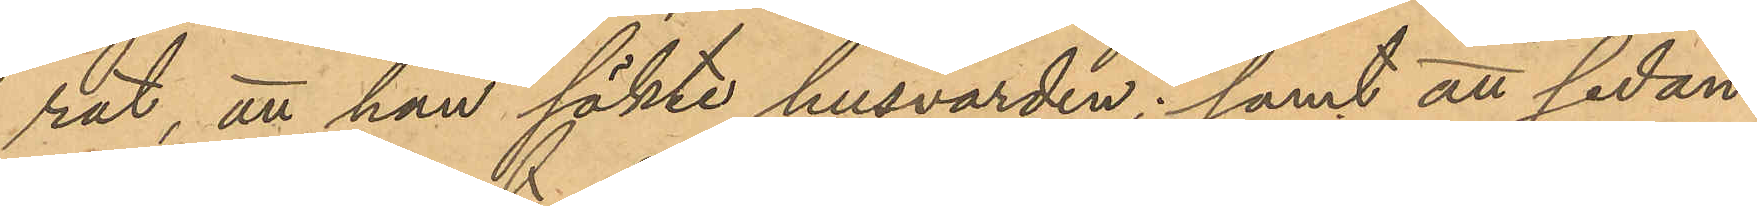rat, att han sökte husvärden; samt att sedan
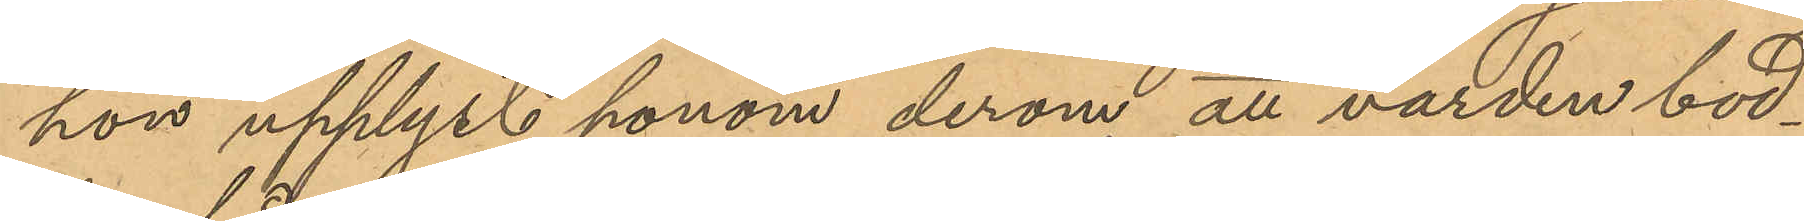hon upplyst honom derom att värden bod¬
